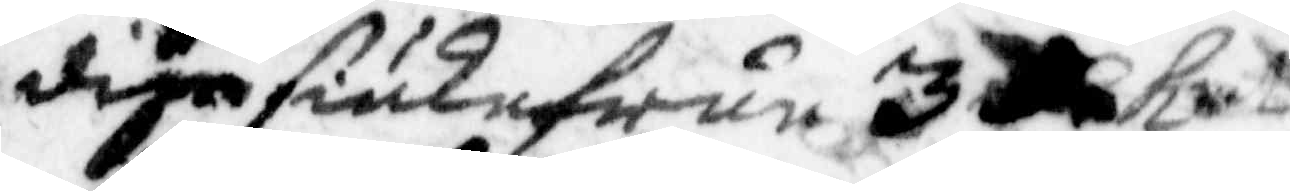dige siuke frun 3 C kmt
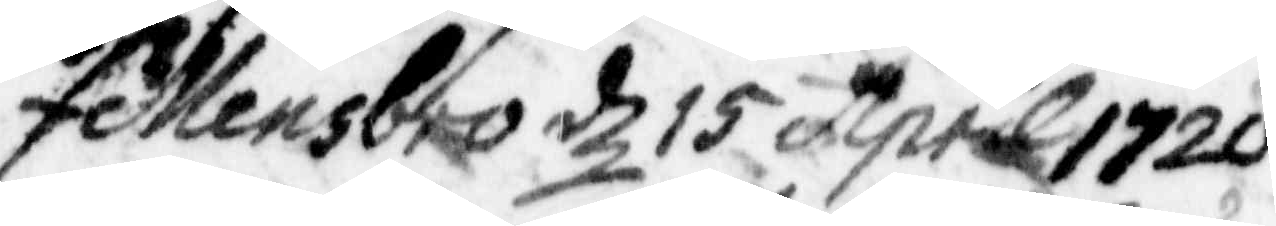Fellensbro d 15 April 1720
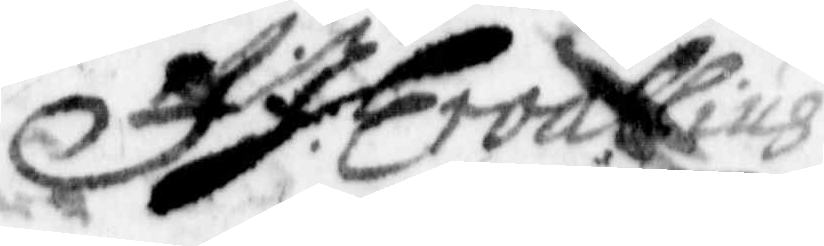J J Eroallius.
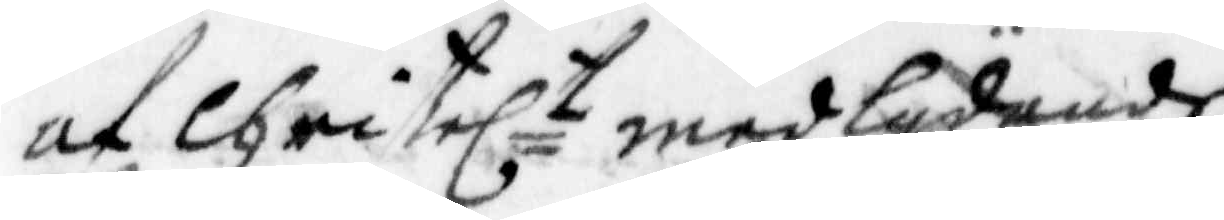af Christelt medlydande
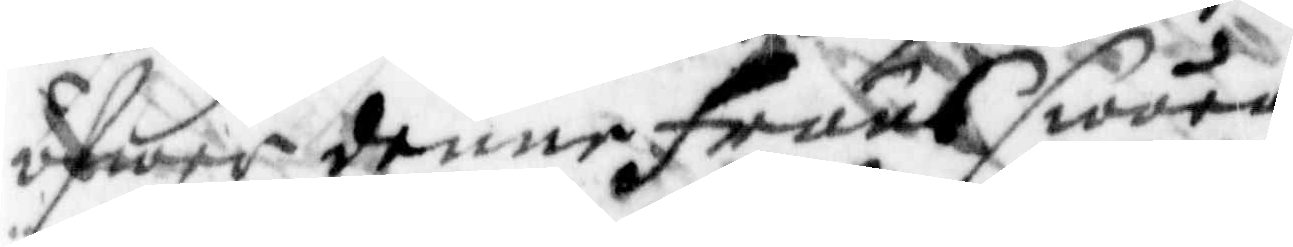äfwer denne fruus swåra
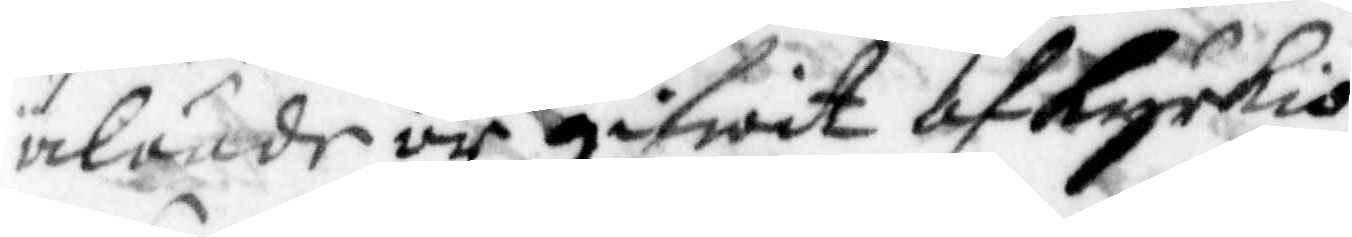älände är gifwit af kyrkio¬
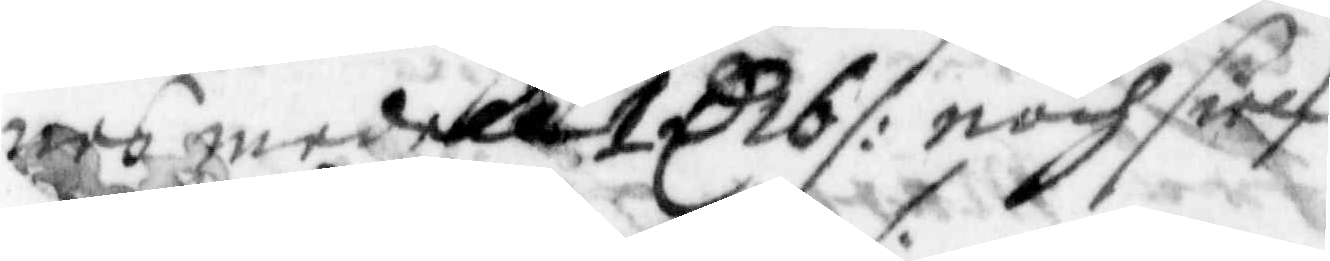nes medell 1 C 16 /: noch sielf
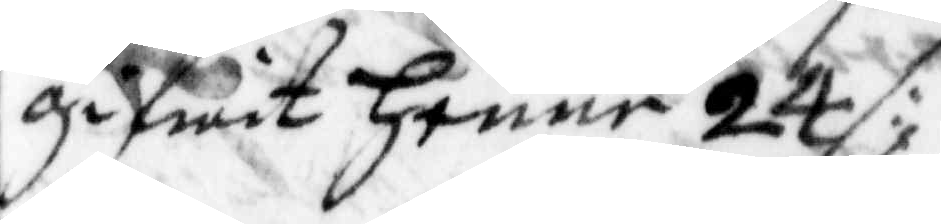gifwit henne 24 /:,
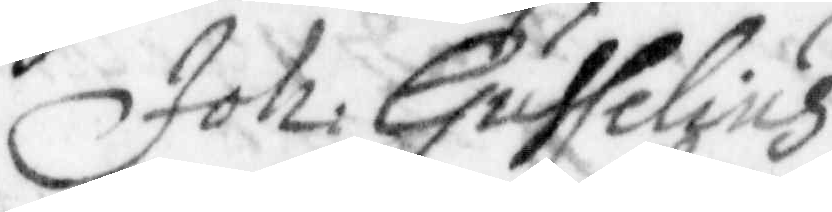Joh: Gusselius
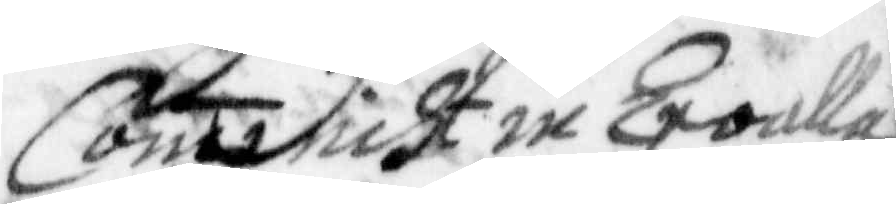Comminist in Ervalla
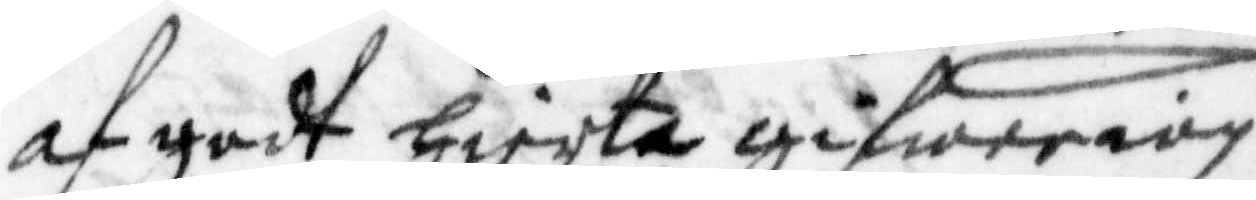af godt hierta gifwe iag
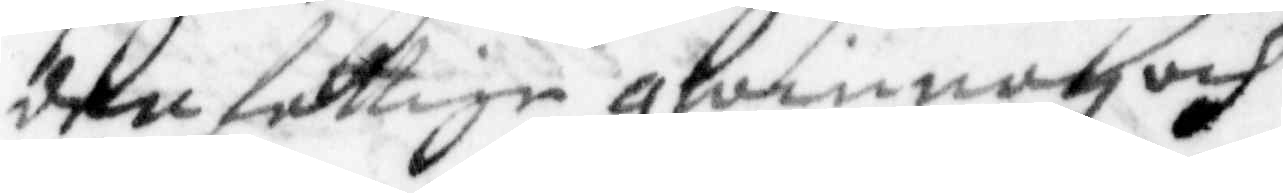den fattige qwinnan och
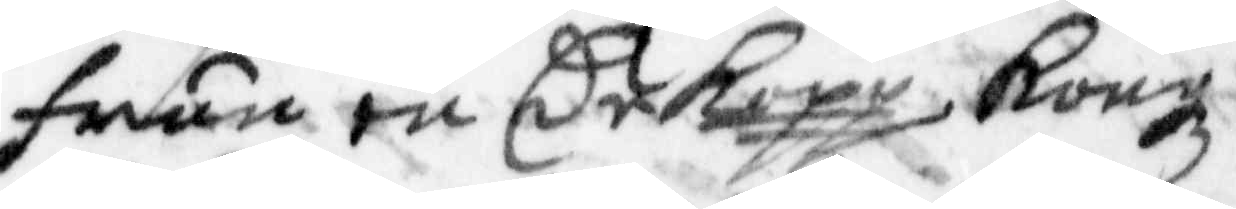frun en Cr Kopp Kongz¬
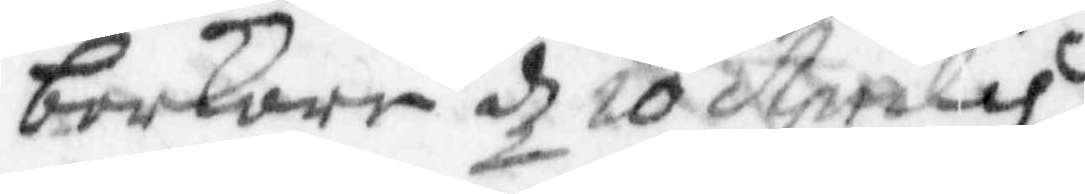barkare d 20 Aprilis
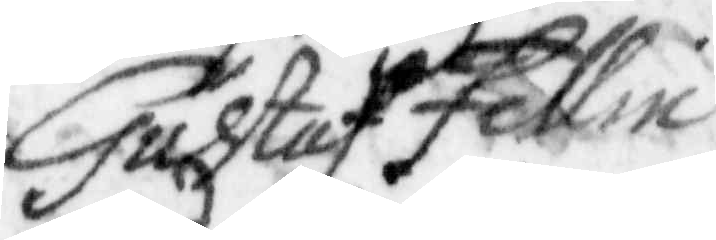Gustaf Fellin
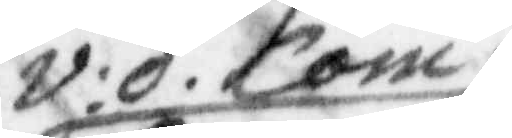v:d. Com:
